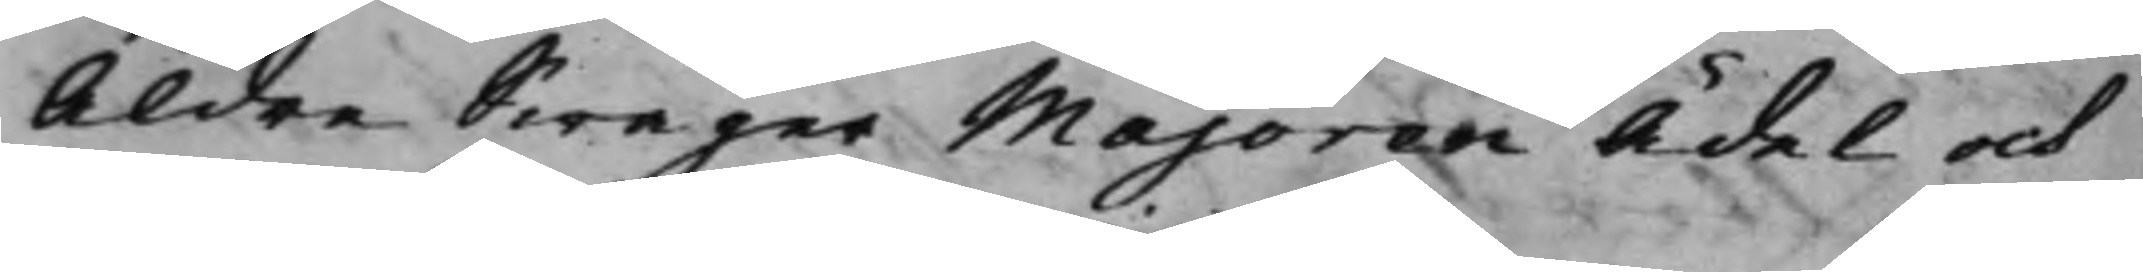Äldre Swåger Majoren Ädel och
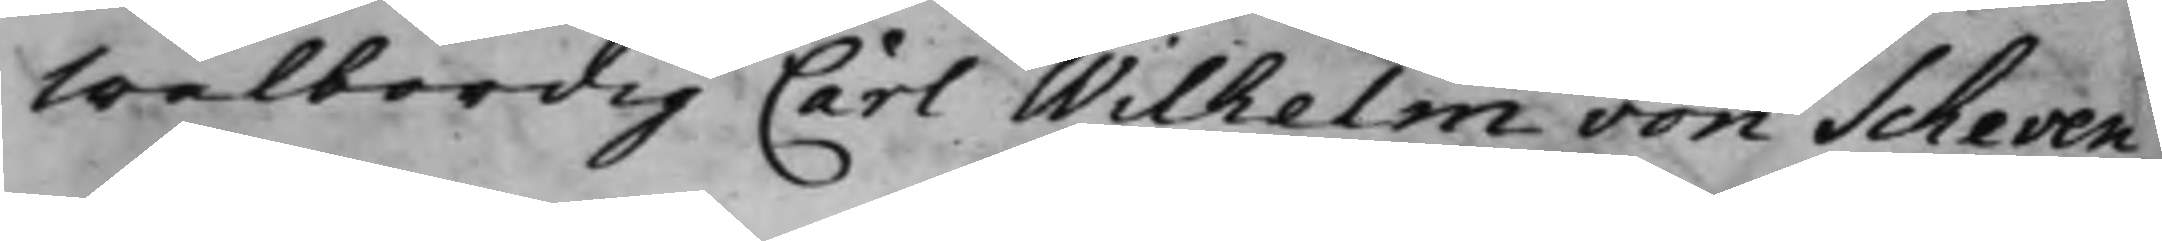Wälbördig Carl Wilhelm von Scheven
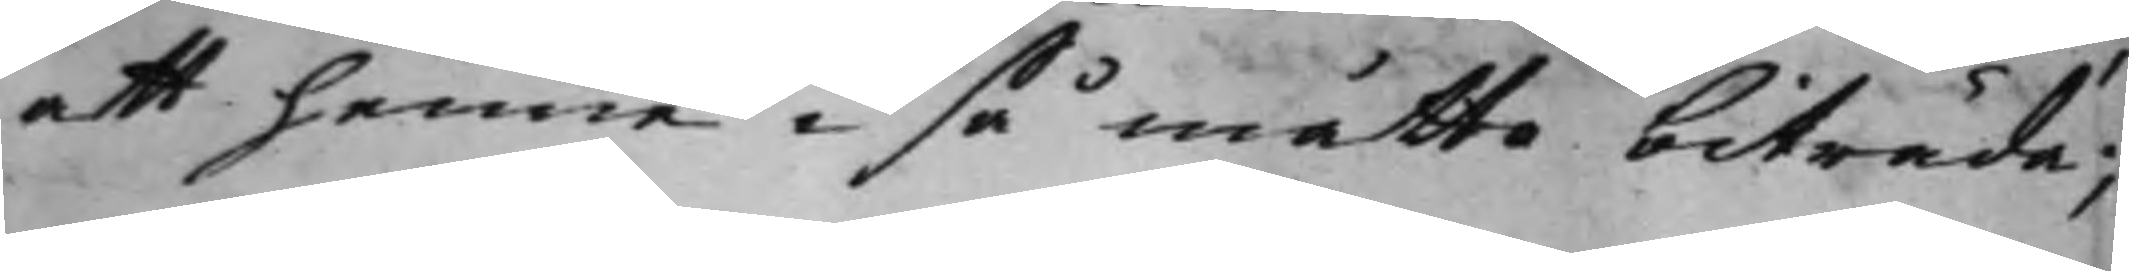att henne i så måtto biträda;
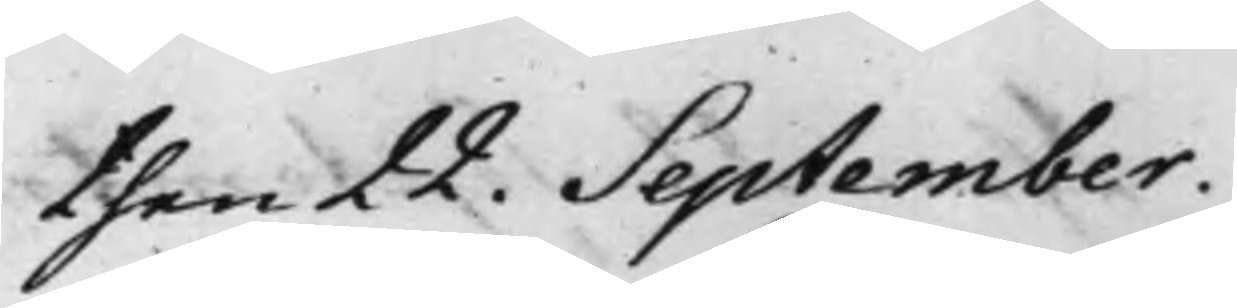then 22. September.
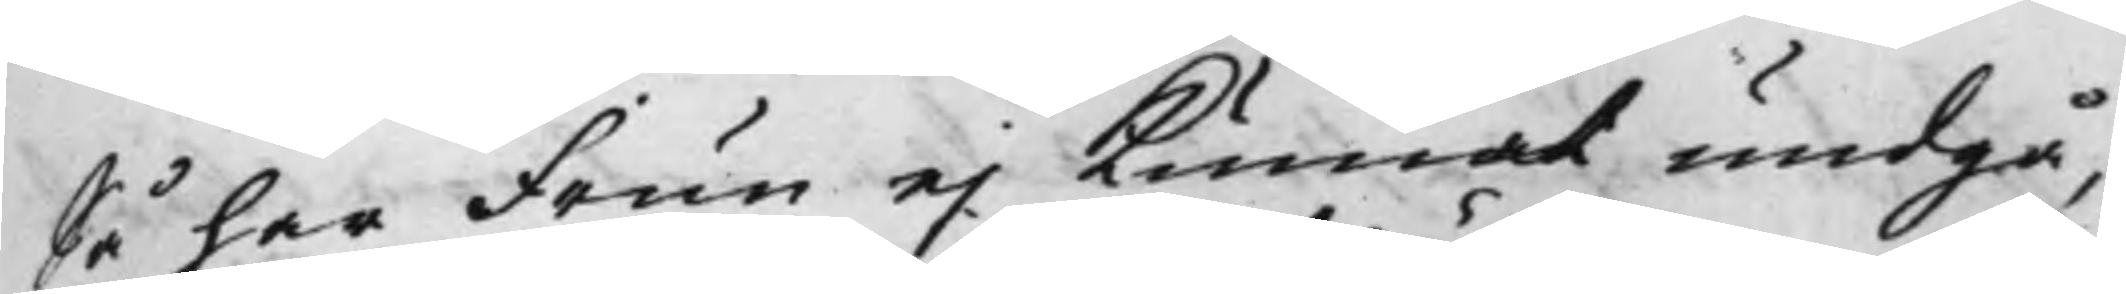Så har Frun ej kunnat undgå,
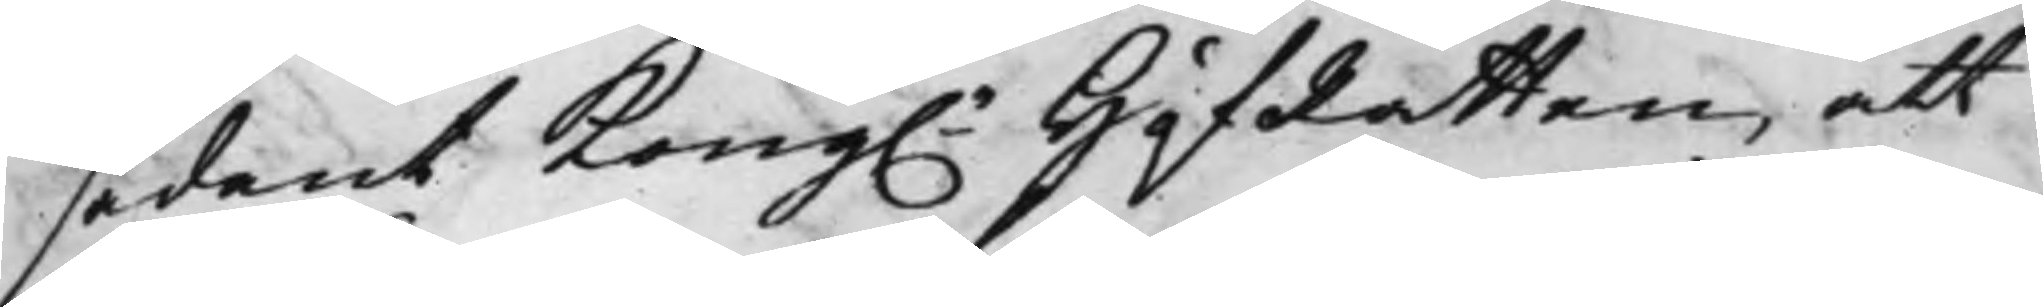sådant Kong.e HofRätten, att 
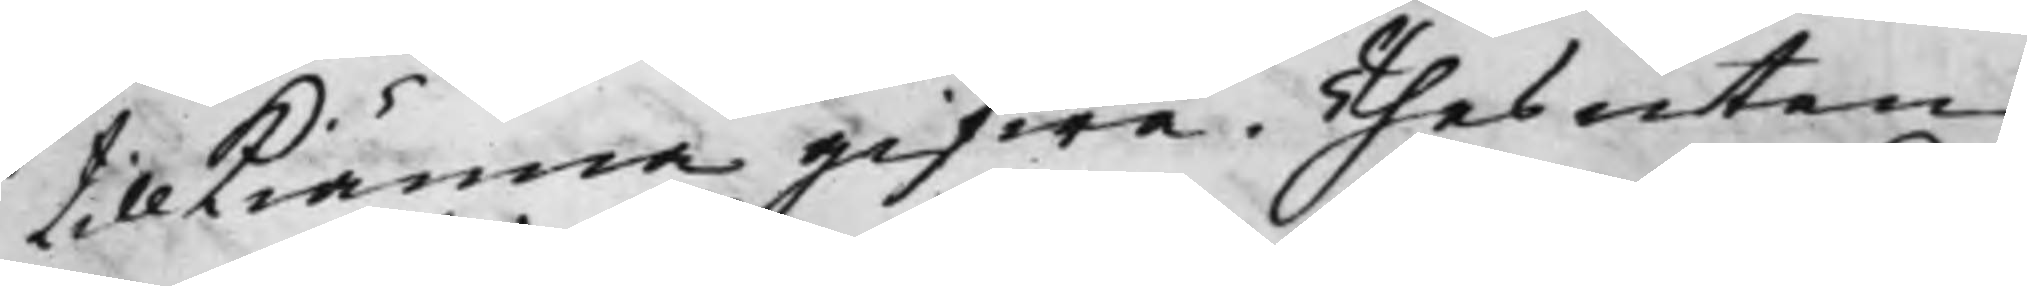tillkiänna gifwa, Thesutan
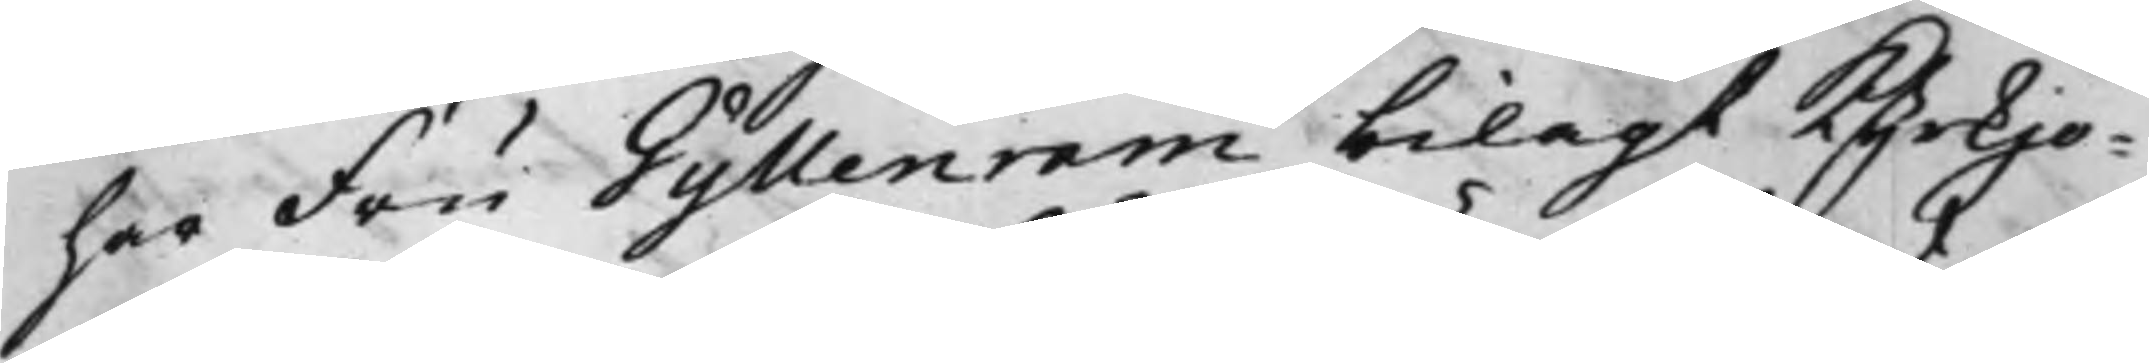har Fru Gyllenram bilagt Kyrkjo¬
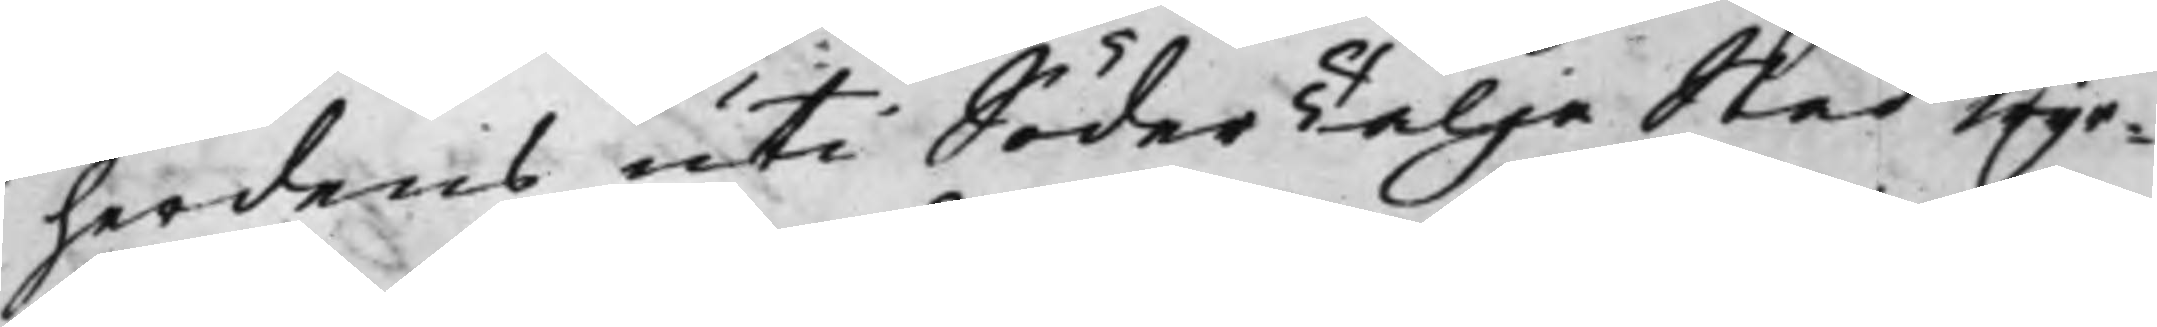herdens uti SöderTälje Stad wyr¬
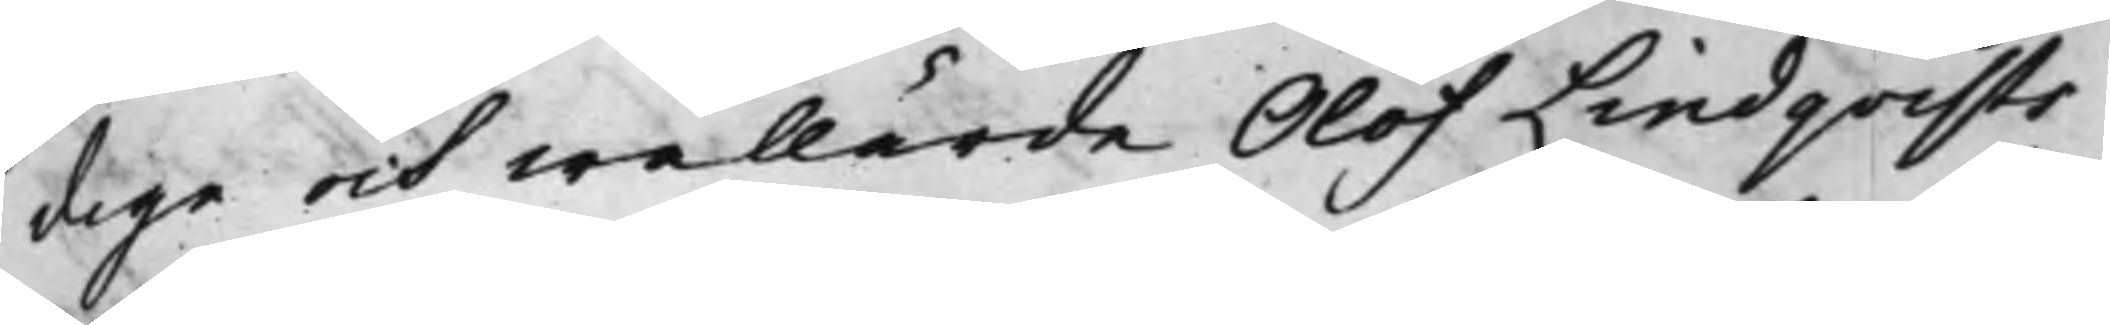dige och wällärde Olof Lindqvists
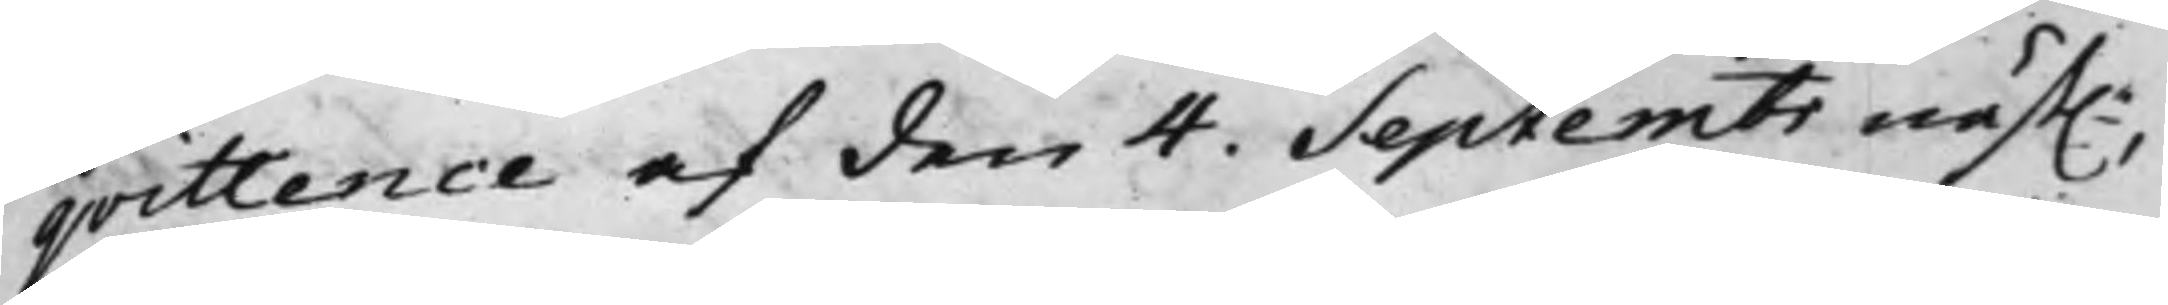qvittence af den 4. Septembr näst.e,
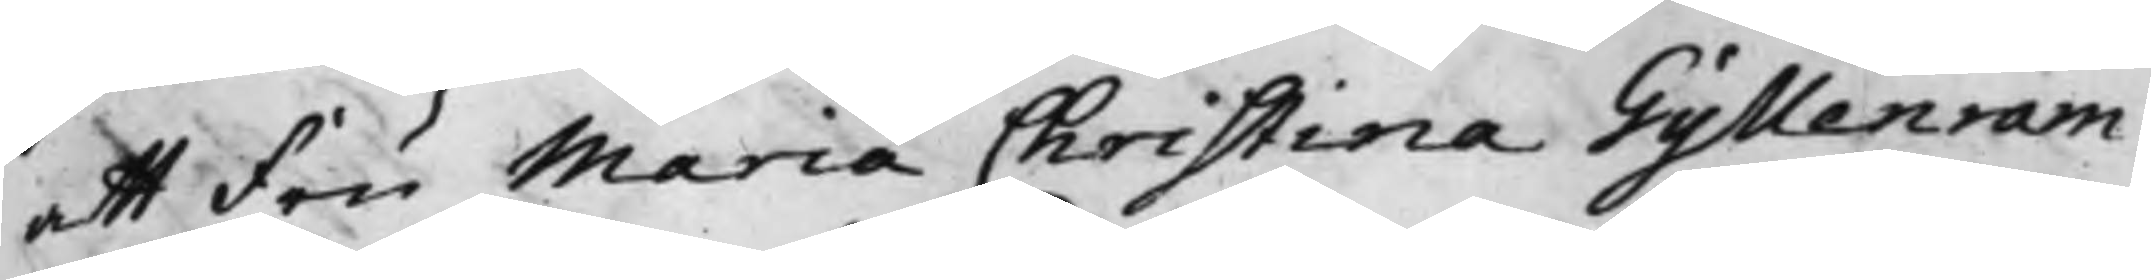att Fru Maria Christina Gyllenram
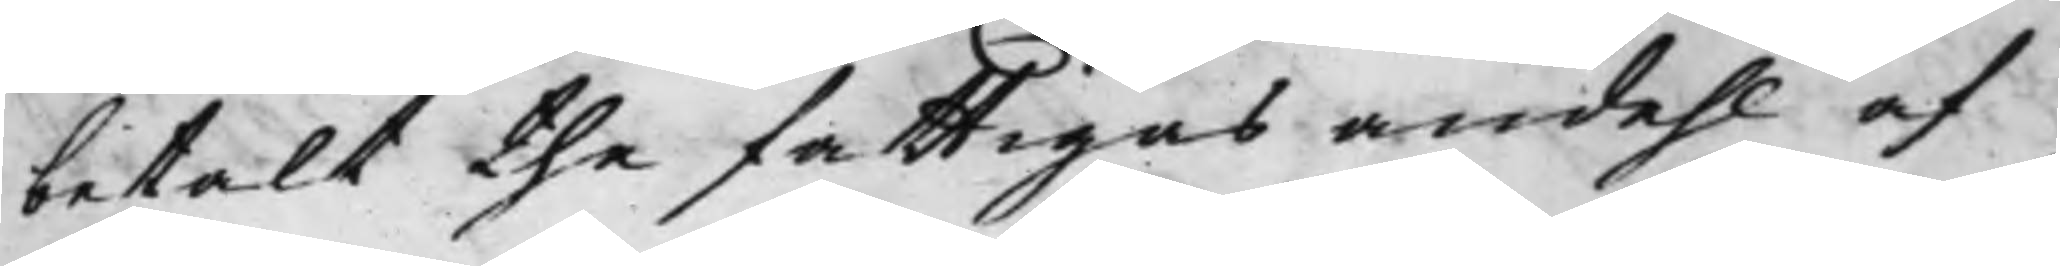betalt the fattigas andehl af
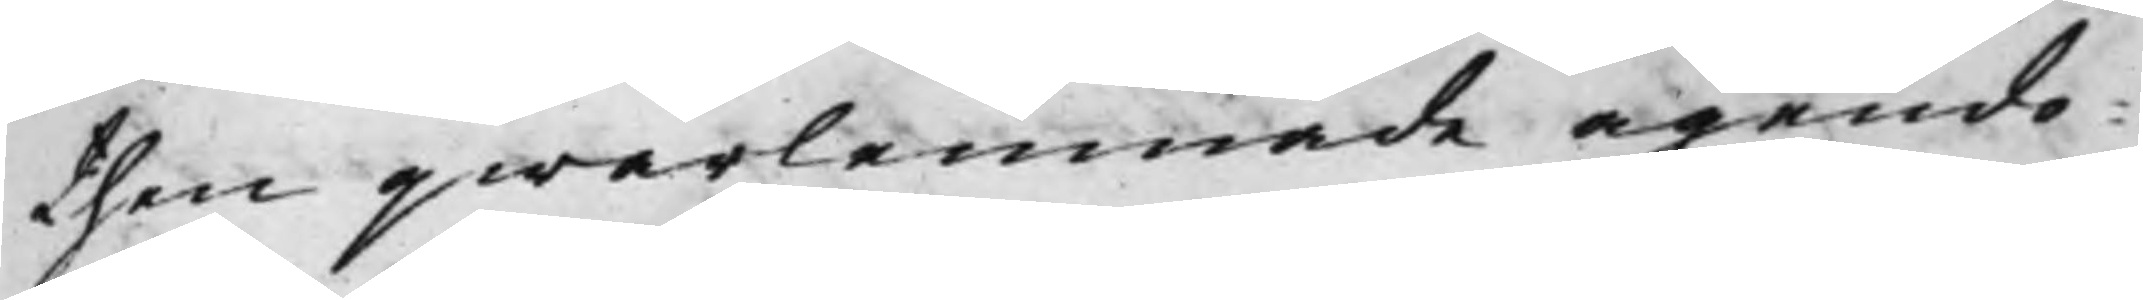then qwarlemnade ägendo¬
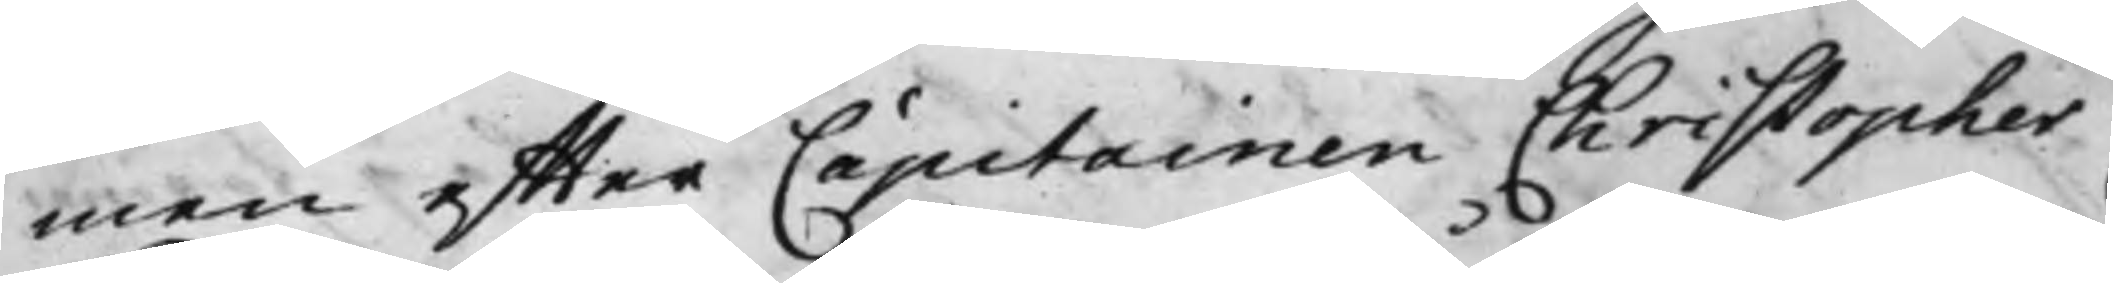men effter Capitainen Christopher
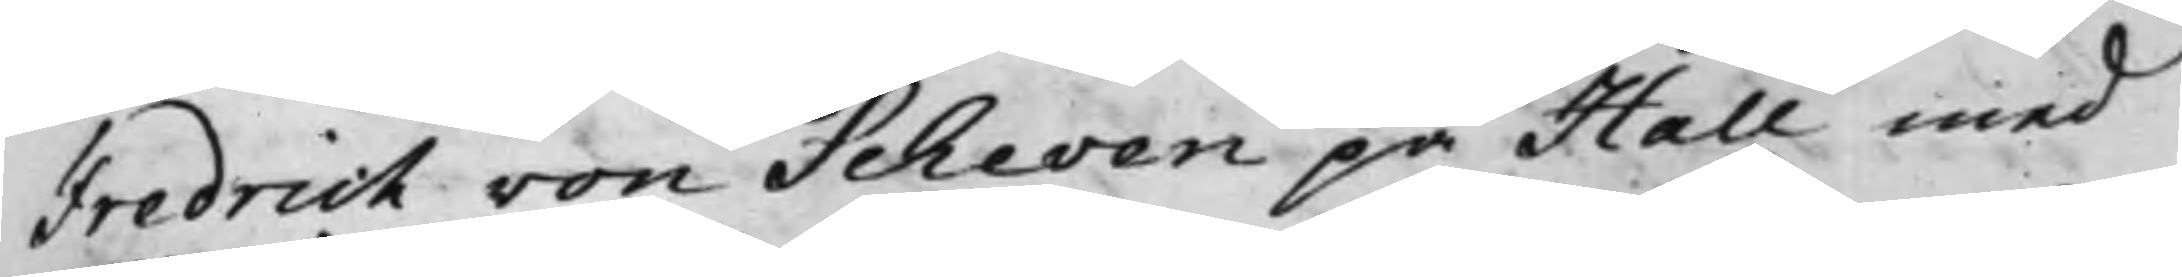Fredrich von Scheven på Hall med
